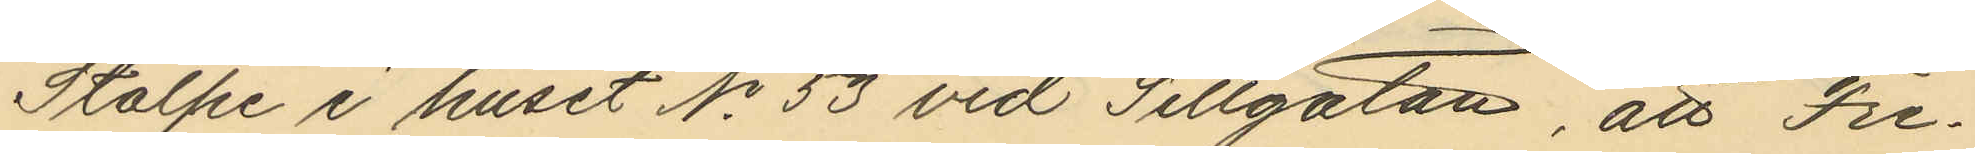Stolpe i huset No 53 vid Sillgatan, att Fre¬
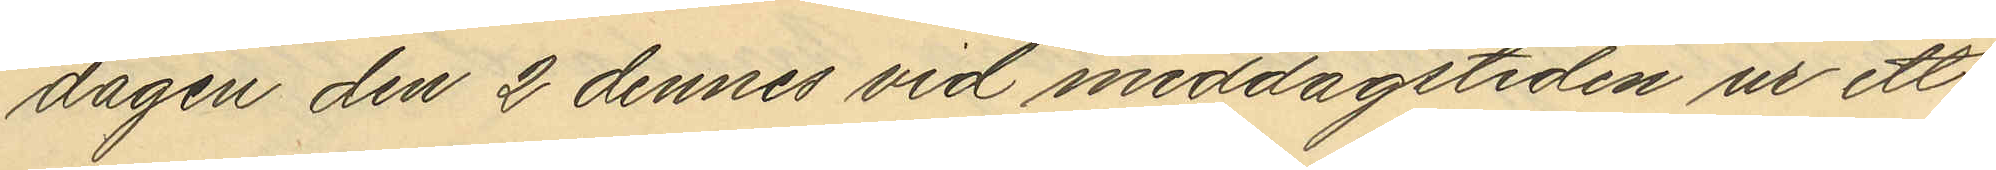dagen den 2 dennes vid middagstiden ur ett
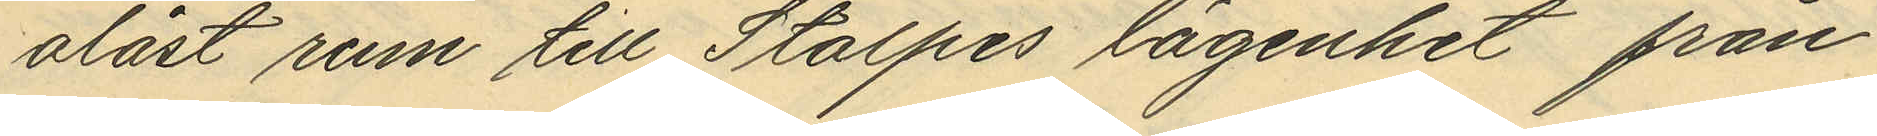olåst rum till Stolpes lägenhet från
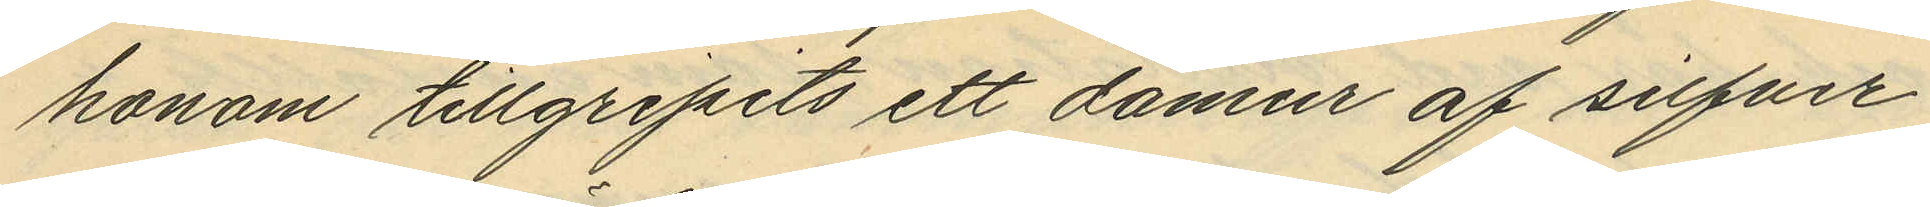honom tillgripits ett damur af silfver
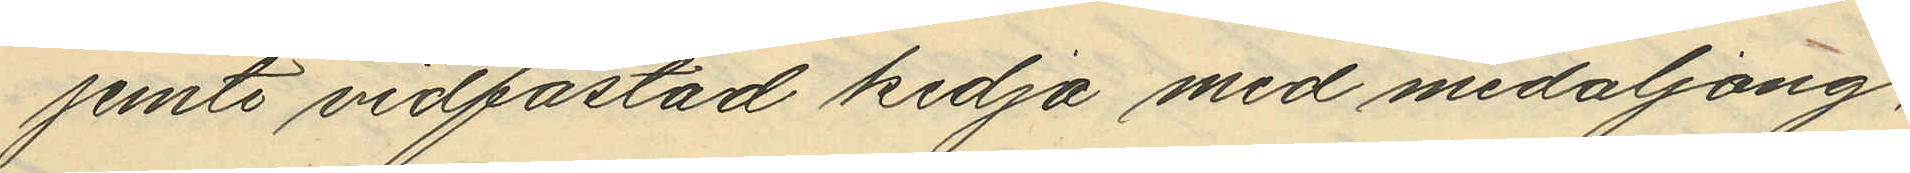jemte vidfästad kedja med medaljong,
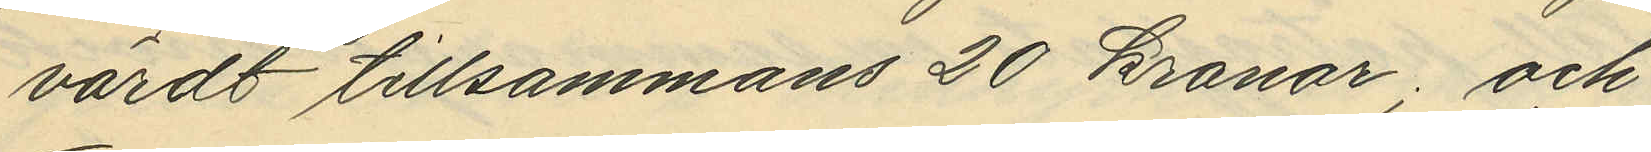värdt tillsammans 20 kronor; och
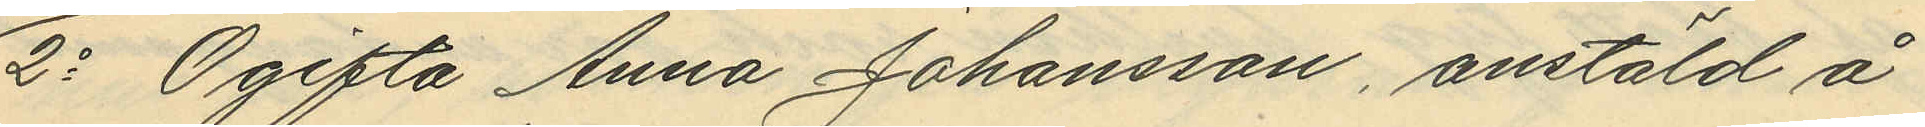2o Ogifta Anna Johansson, anstäld å
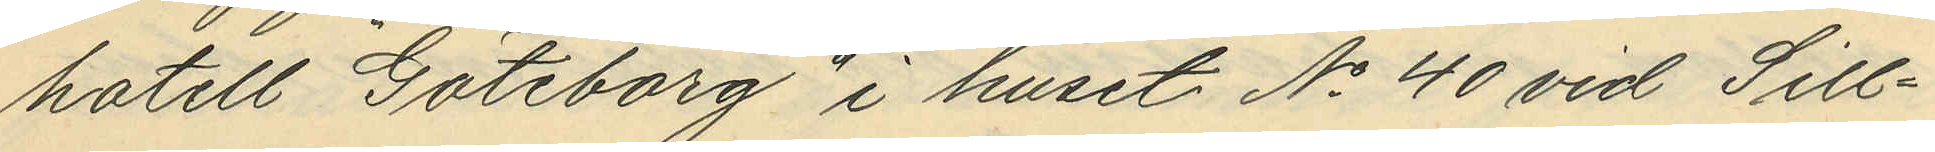hotell Göteborg i huset No 40 vid Sill¬
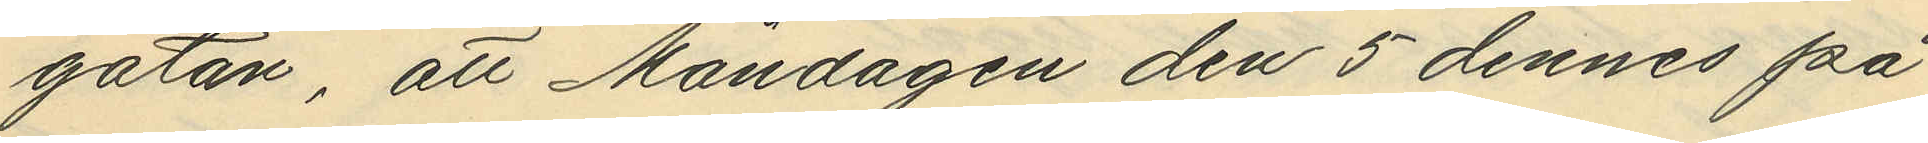gatan, att Måndagen den 5 dennes på
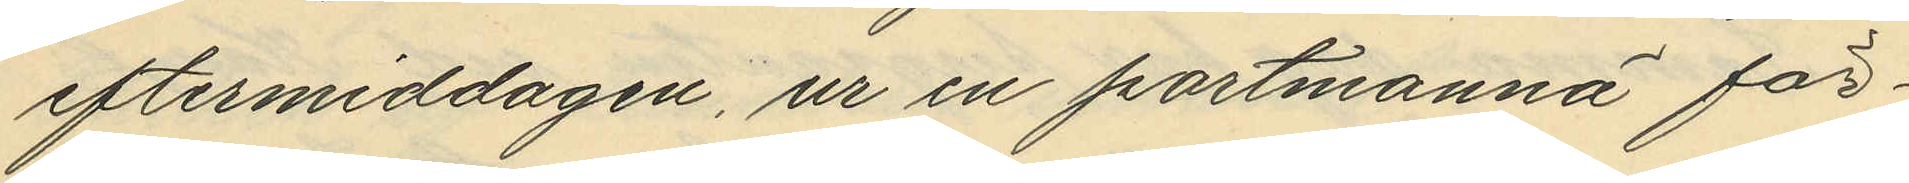eftermiddagen, ur en portmonnä för¬
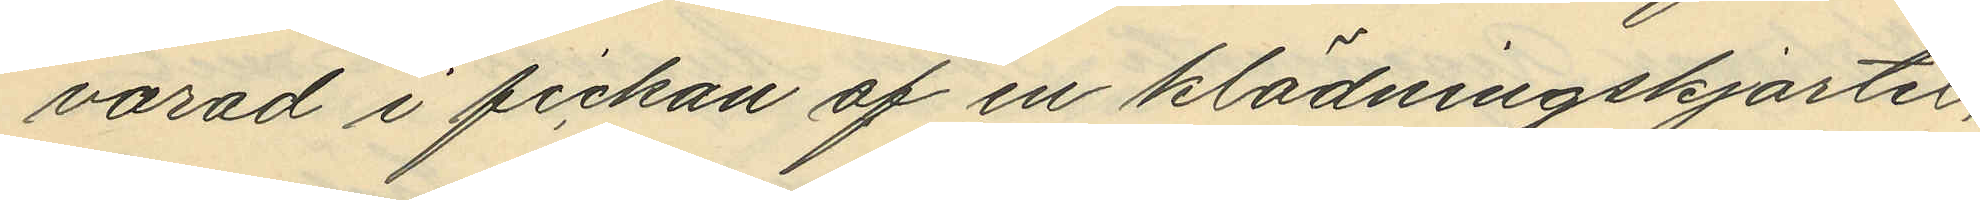varad i fickan af en klädningskjortel,
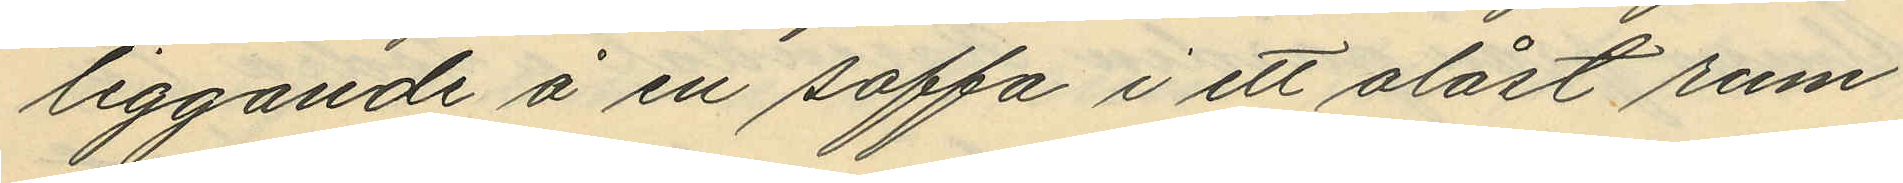liggande å en soffa i ett olåst rum
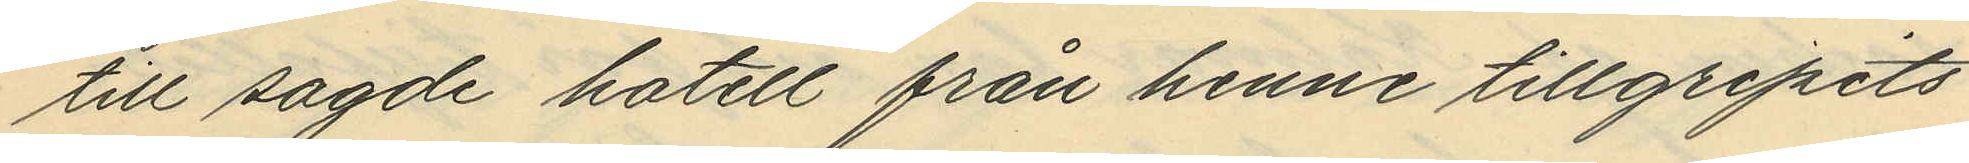till sagde hotell från henne tillgripits
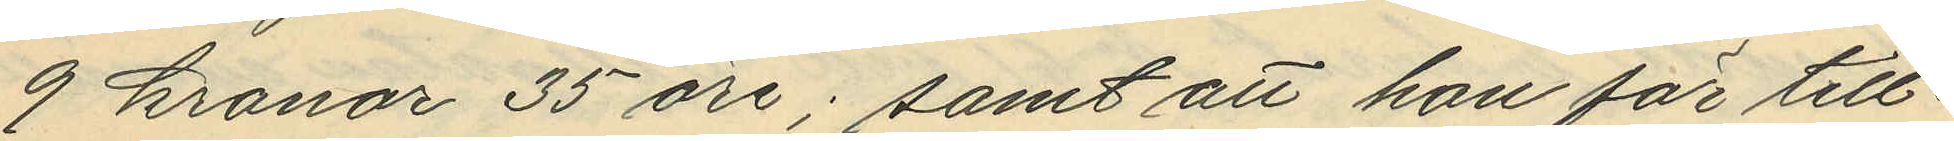9 kronor 35 öre; samt att hon för till¬
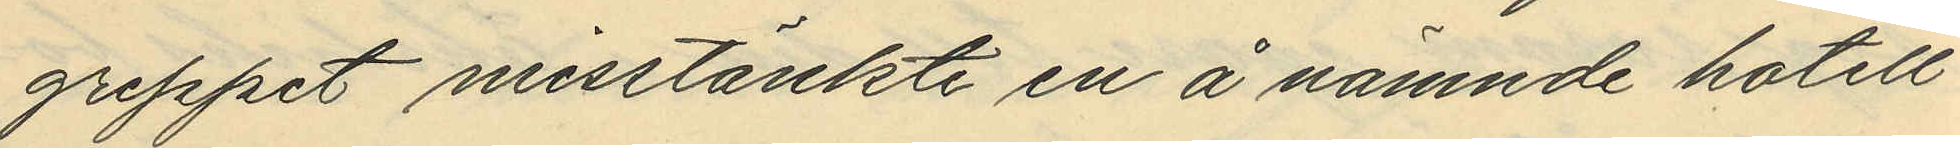greppet misstänkte en å nämnde hotell
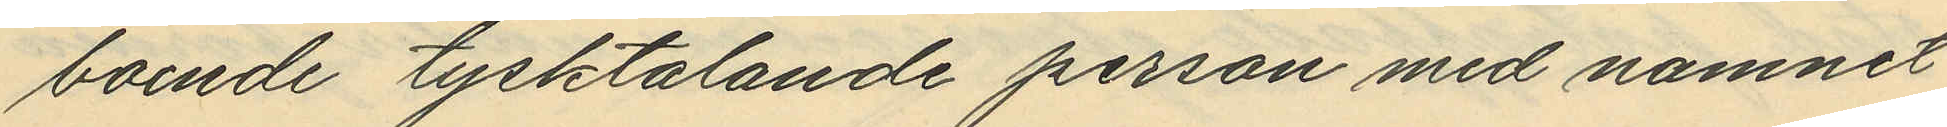boende tysktalande person med namnet
